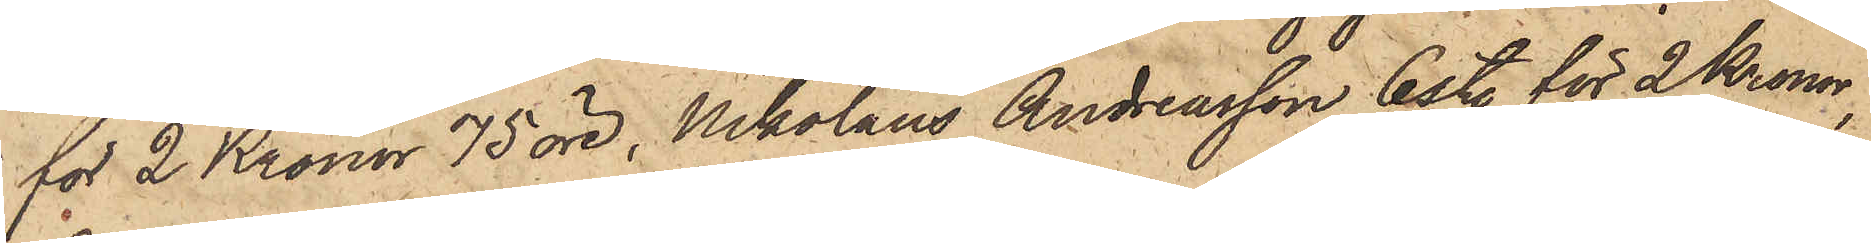för 2 Kronor 75 öre, Nikolaus Andreasson 6 sty. för 2 Kronor,
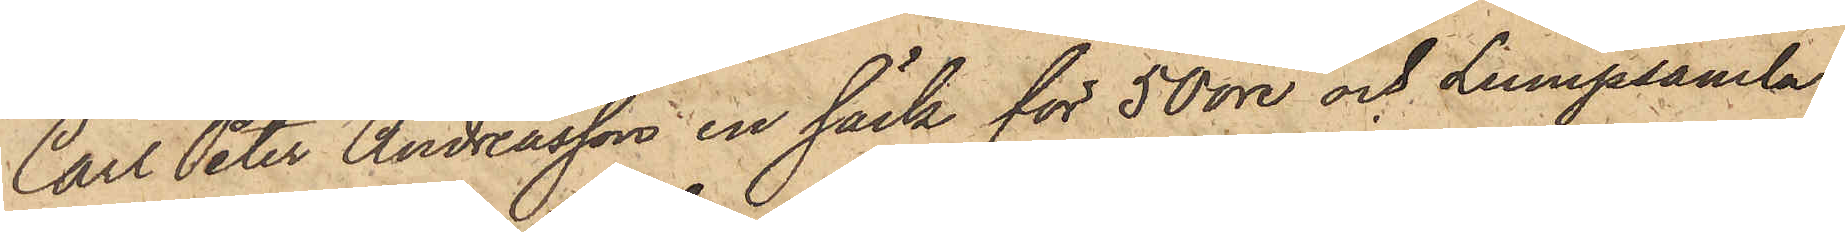Carl Peter Andreasson en säck för 50 öre och Lumpsamla¬
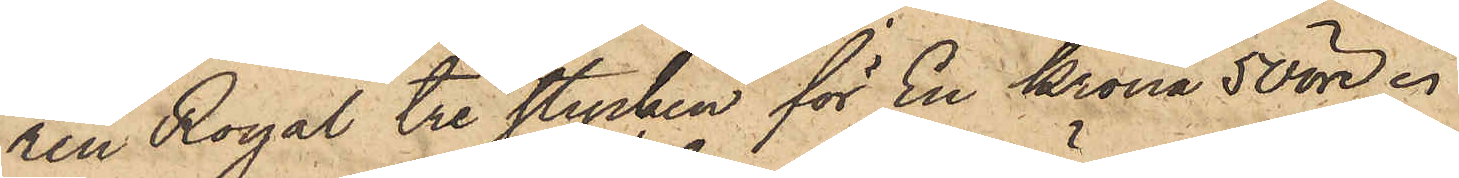ren Royal tre stycken för En Krona 50 öre.
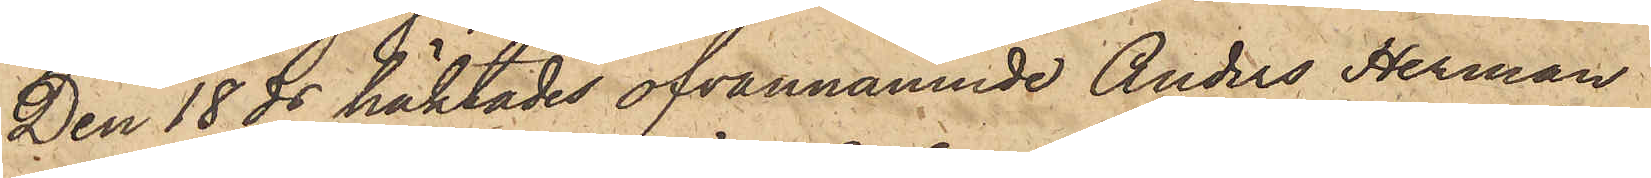Den 18 ds häktades ofvannämnde Anders Herman
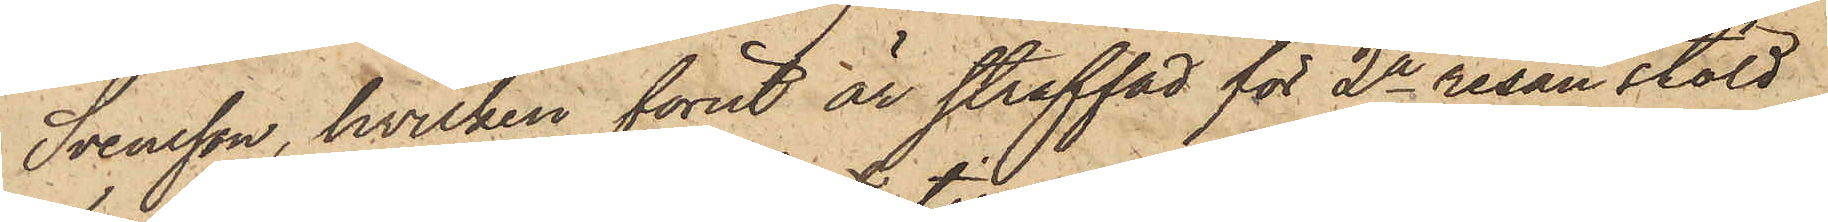Svensson, hvilken förut är straffad för 2a resan stöld
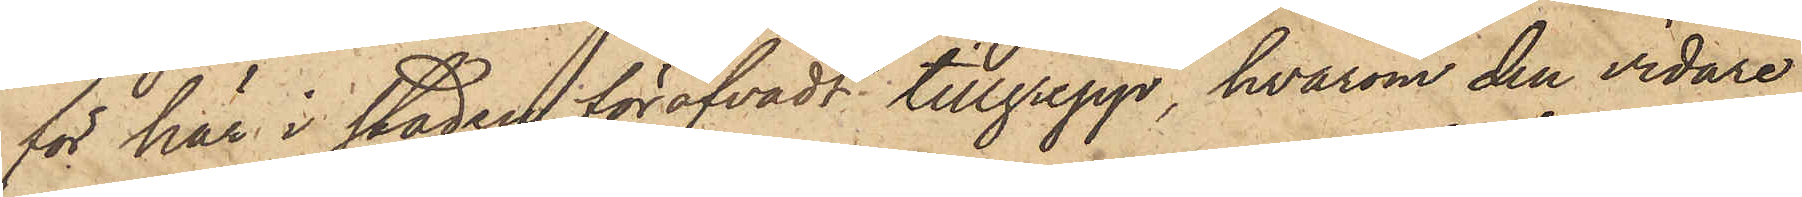för här i staden föröfvadt tillgrepp, hvarom den vidare
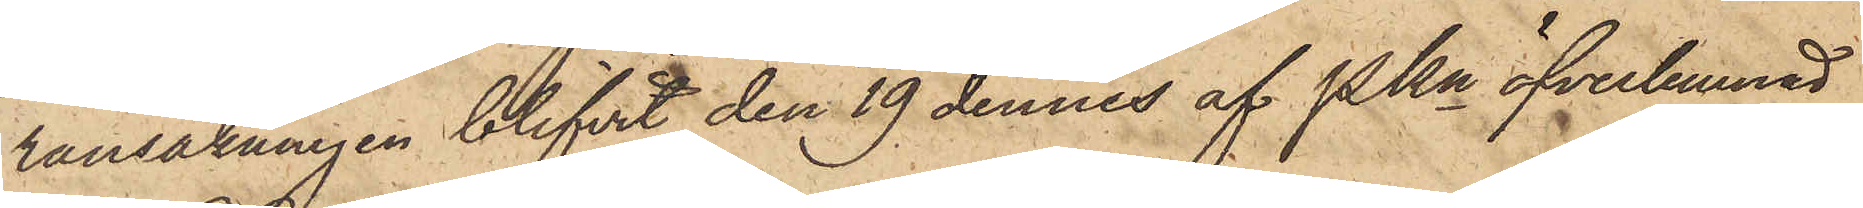ransakningen blifvit den 19 dennes af PKn öfverlemnad
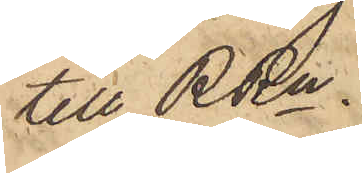till RRn.
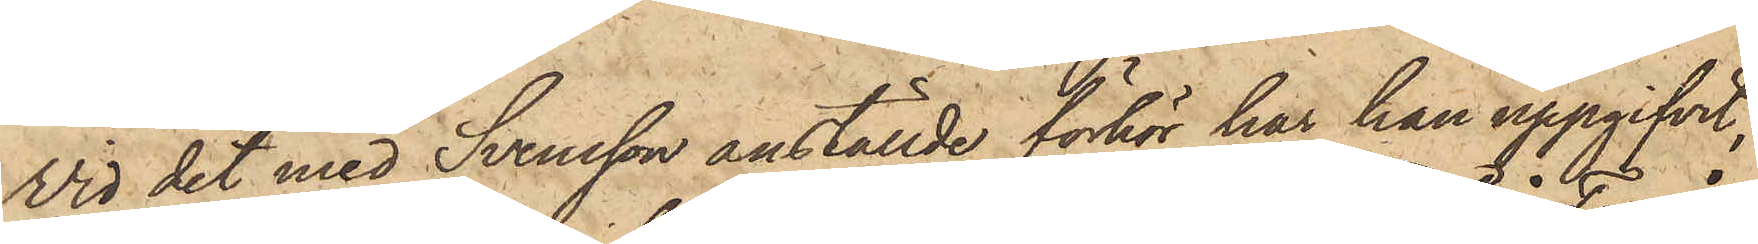Vid det med Svensson anställde förhör har han uppgifvit,
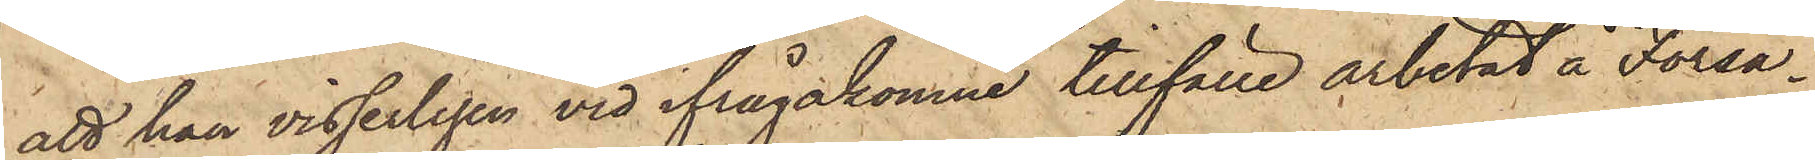att han visserligen vid ifrågakomne tillfälle arbetat å Forså¬
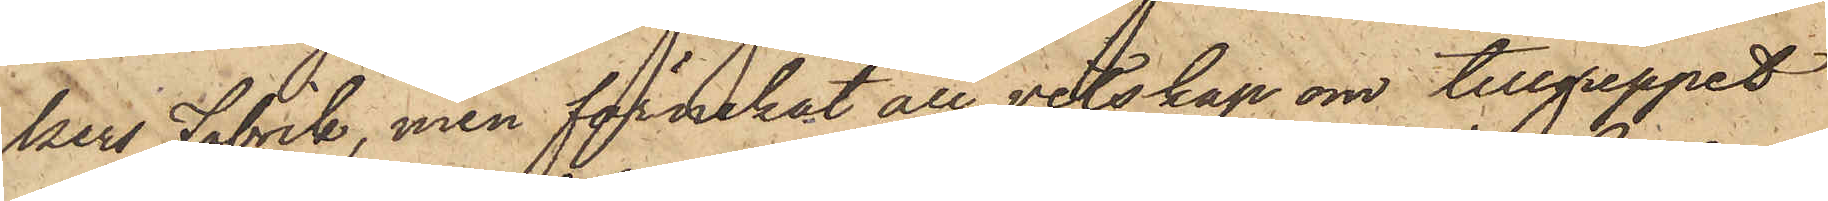kers Fabrik, men förnekat all vetskap om tillgreppet.
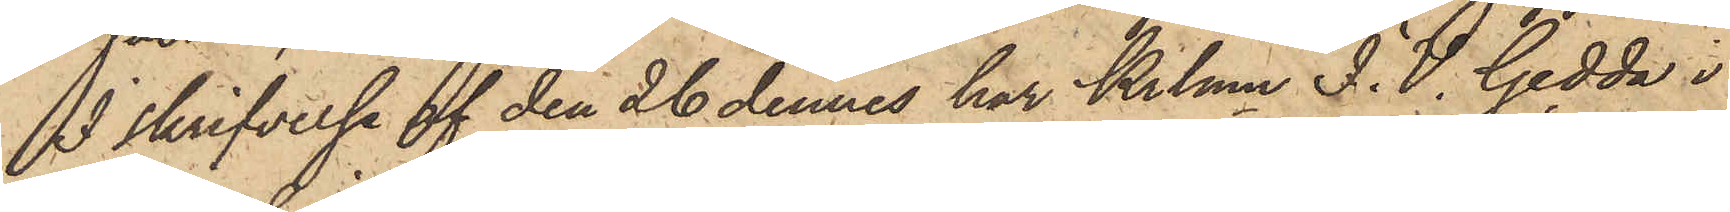I skrifvelse af den 26 dennes har Krlmn J.V. Gedda i
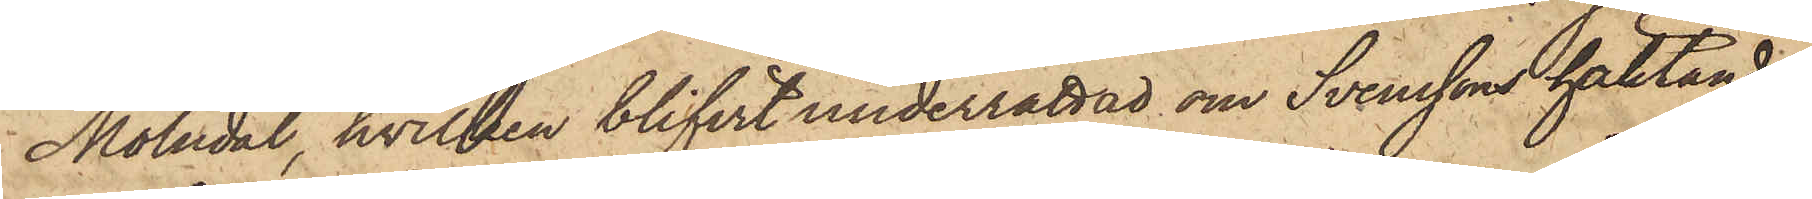Mölndal, hvilken blifvit underrättad om Svenssons häktande,
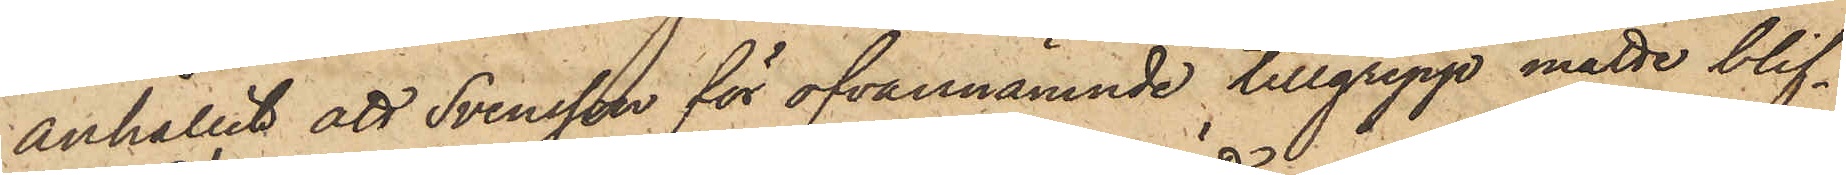anhållit att Svensson för ofvannämnde tillgrepp måtte blif¬
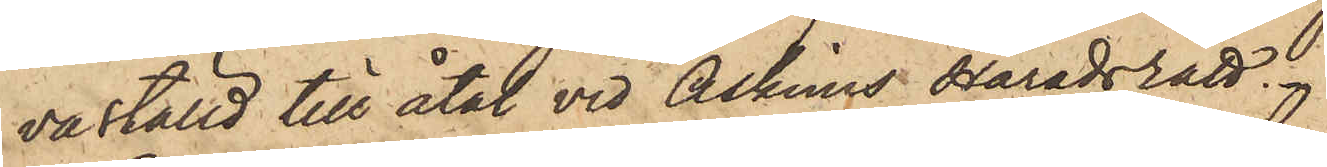va ställd till åtal vid Askims Häradsrätt.
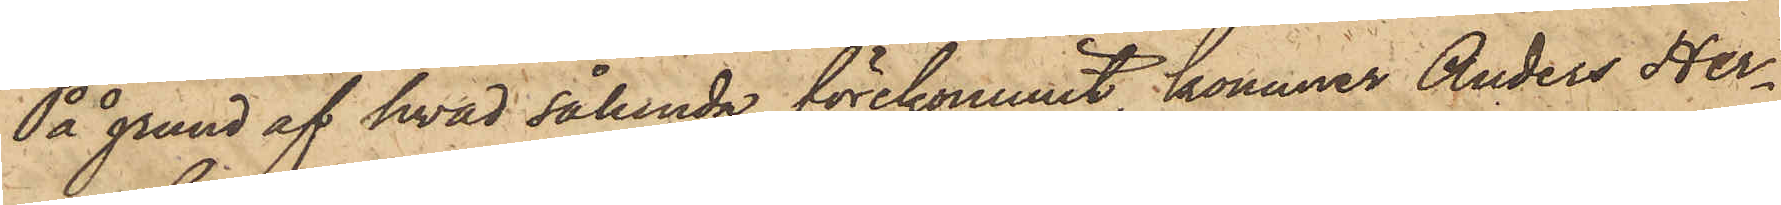På grund af hvad sålunda förekommit, kommer Anders Her¬
